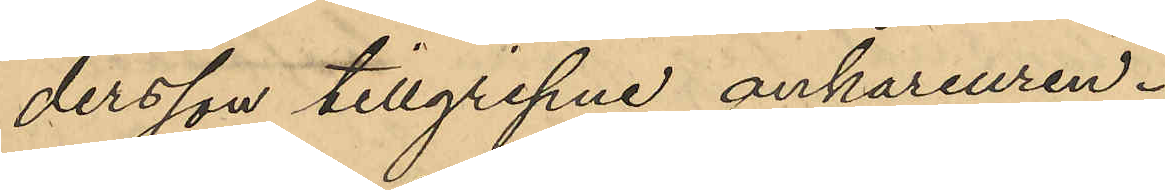dersson tillgripne ankareuren.
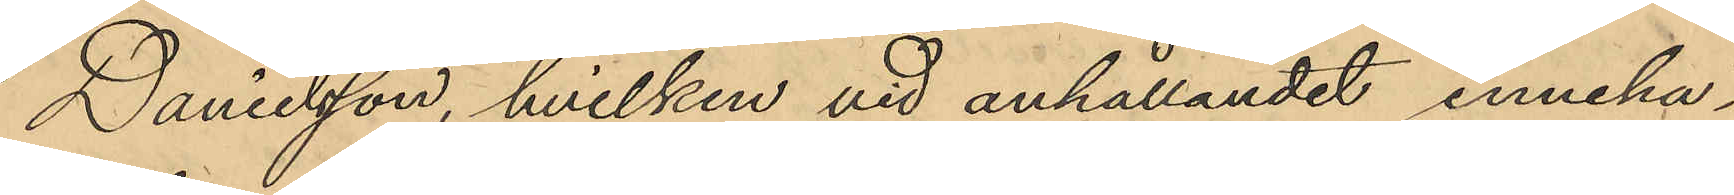Danielsson, hvilken vid anhållandet inneha¬
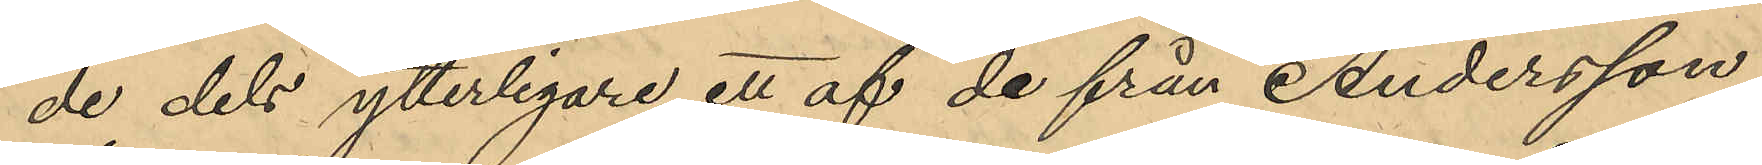de dels ytterligare ett af de från Andersson
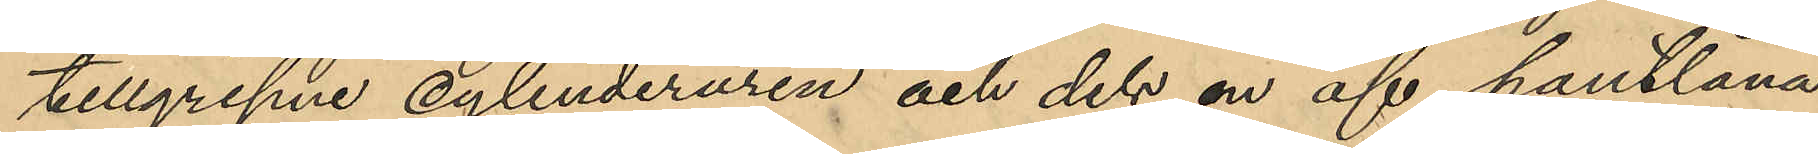tillgripne cylinderuren och dels en af pantlåna¬
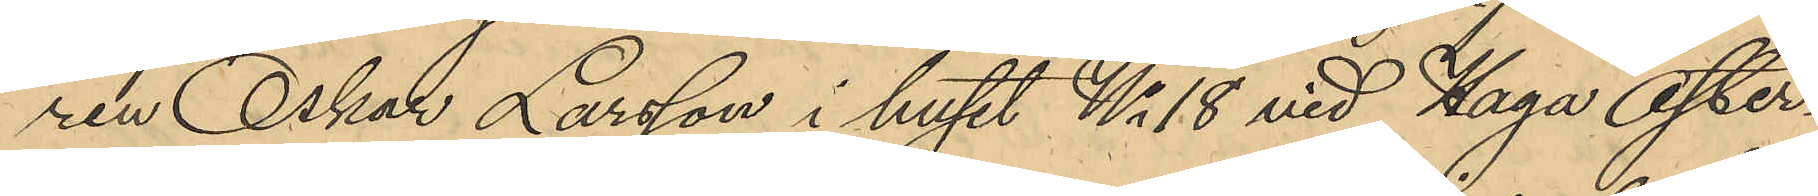ren Oskar Larsson i huset No 18 vid Haga Öster¬
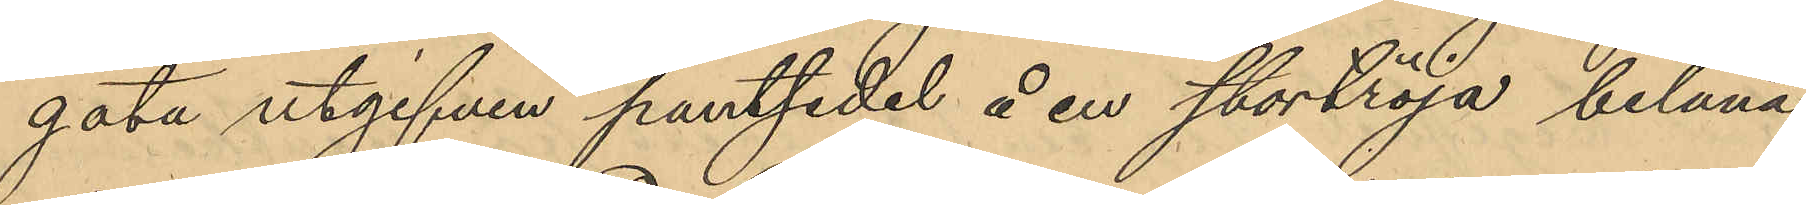gata utgifven pantsedel å en stortröja, belånad
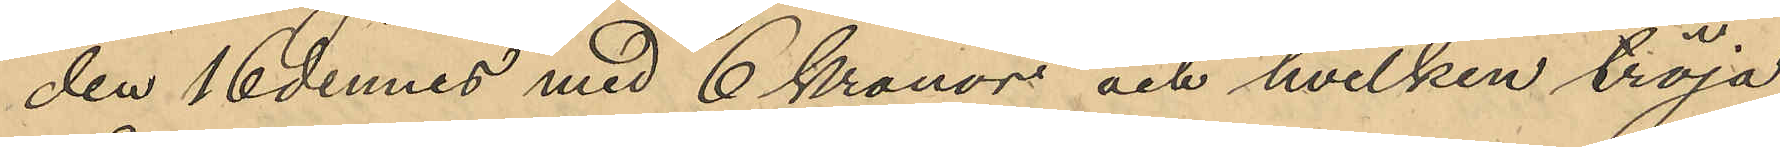den 16 dennes med 6 kronor och hvilken tröja
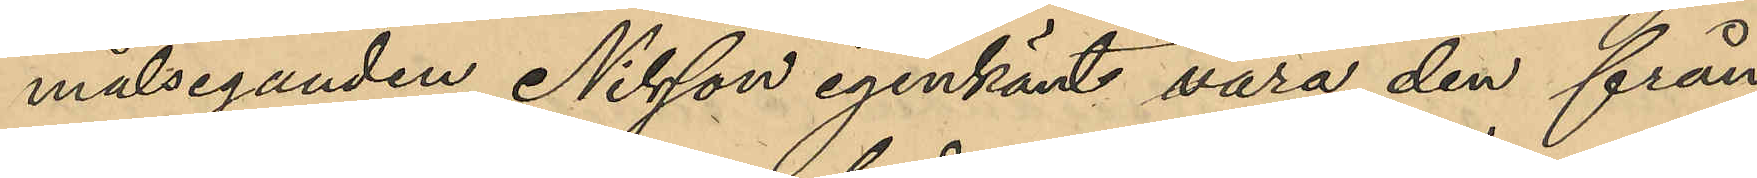målseganden Nilsson igenkänt vara den från
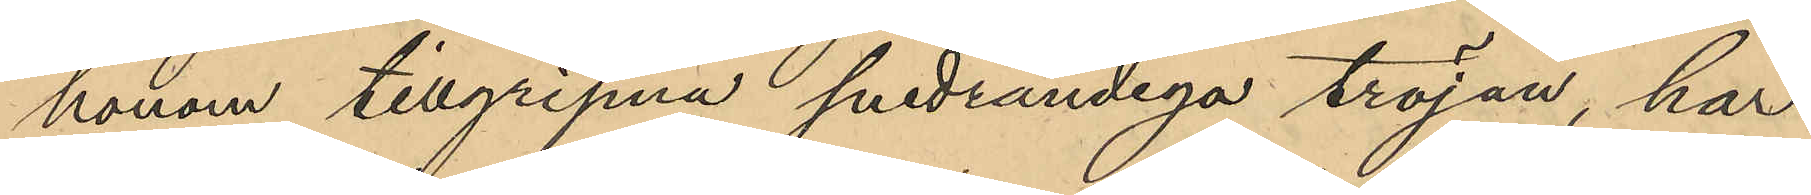honom tillgripna snedrandiga tröjan, har
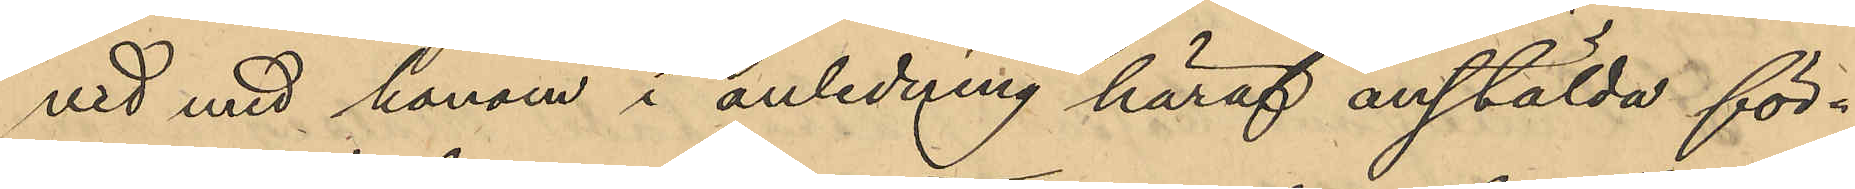vid med honom i anledning häraf anstälda för¬
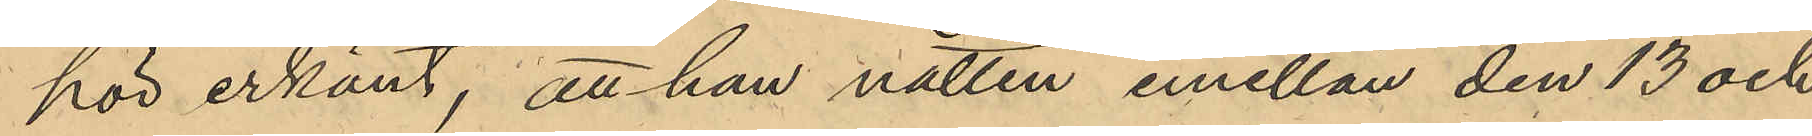hör erkänt, att han natten emellan den 13 och
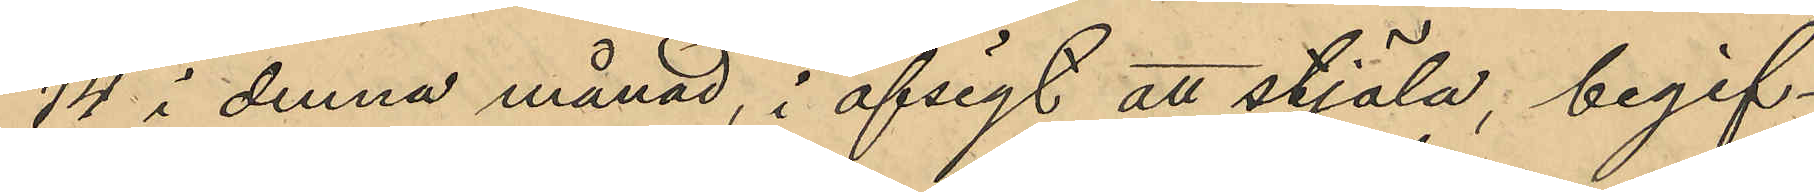14 i denna månad, i afsigt att stjäla, begif¬
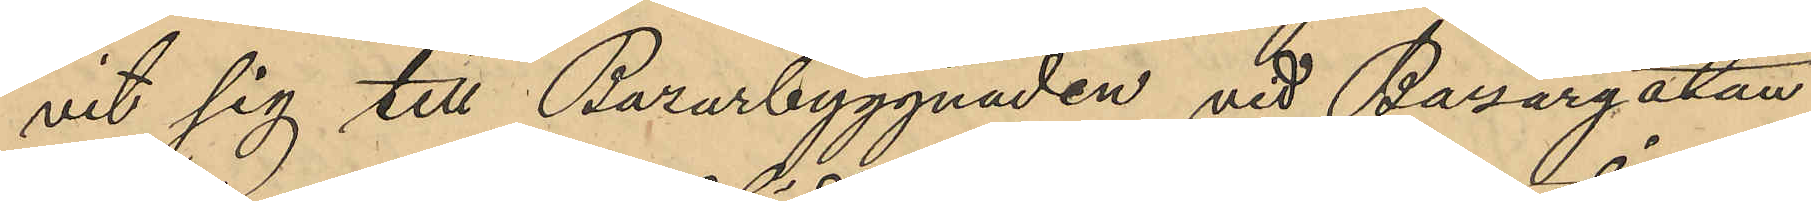vit sig till Bazarbyggnaden vid Bazargatan;
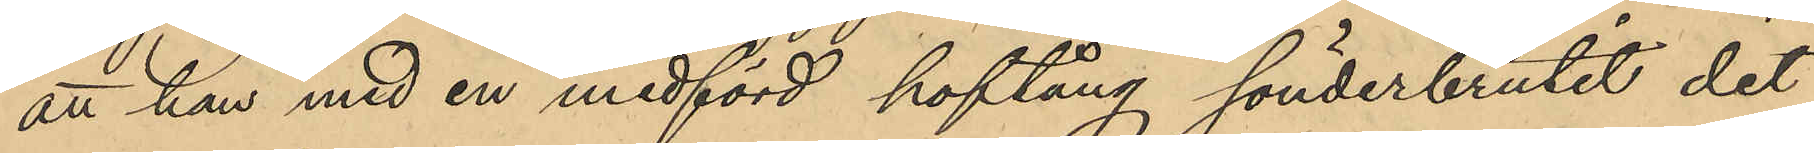att han med en medförd hoftång sönderbrutit det
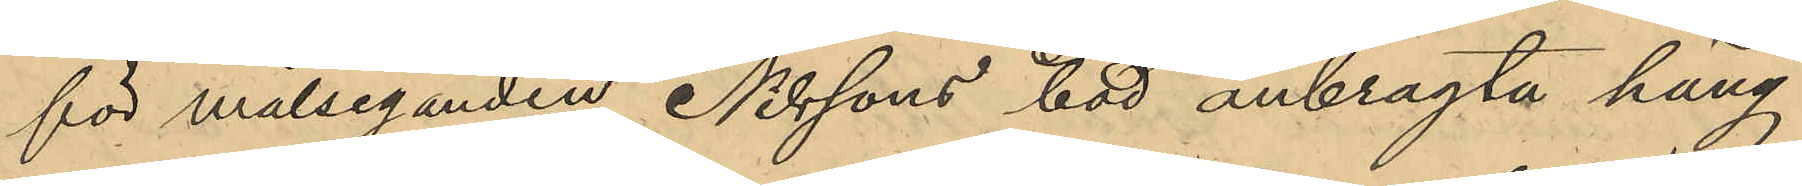för målseganden Nilssons bod anbragta häng¬
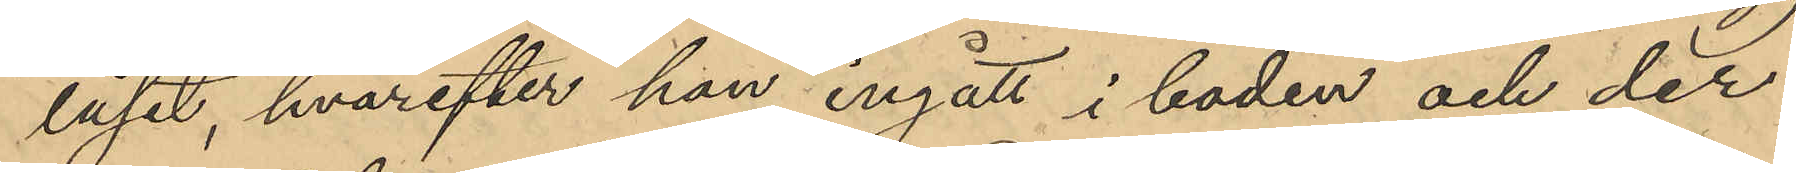låset, hvarefter han ingått i boden och der
